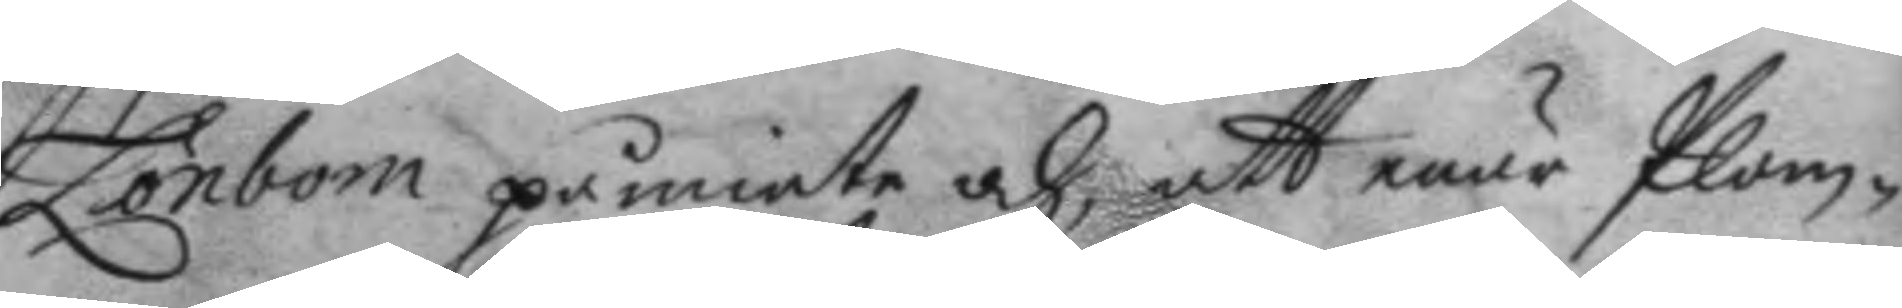Lönbom påminte och att enär Plom¬
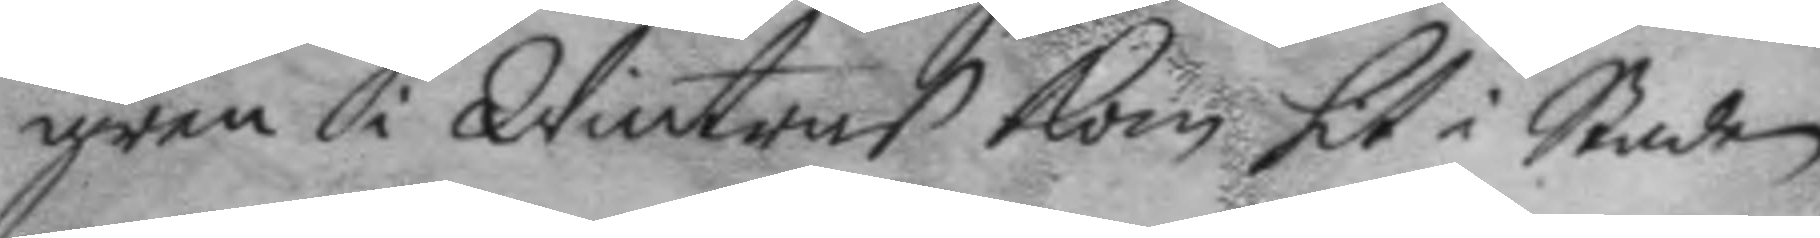gren i Wintras kom hit i Staden
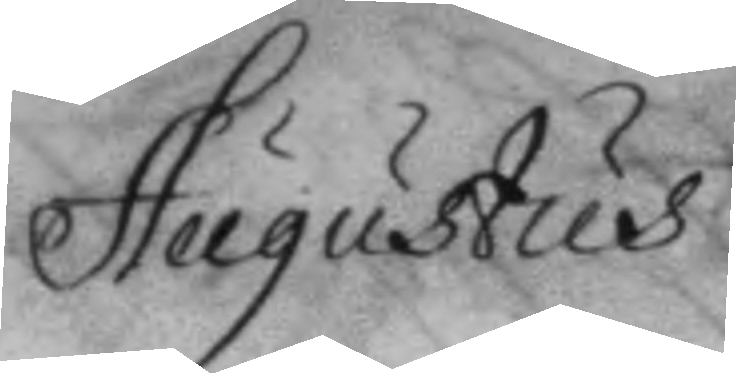Augustus
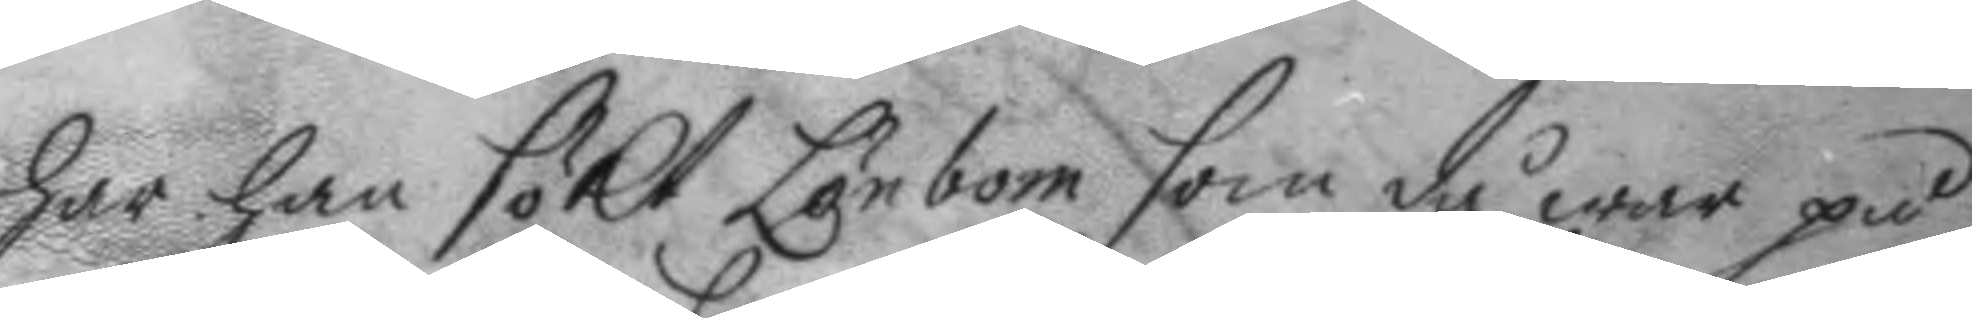har han sökt Lönbom som då war på
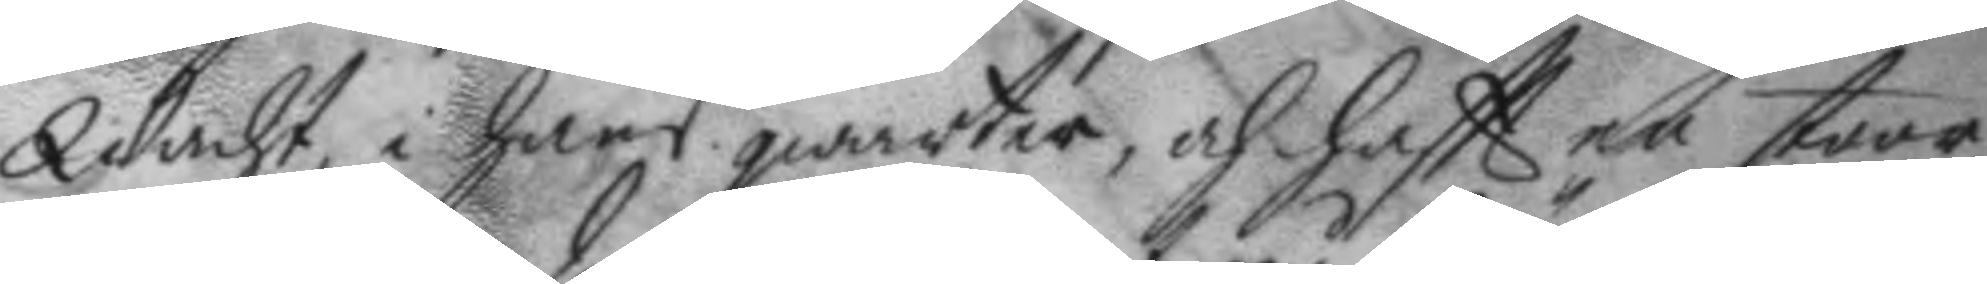Wacht, i hans qwarter, och haftt en stoor
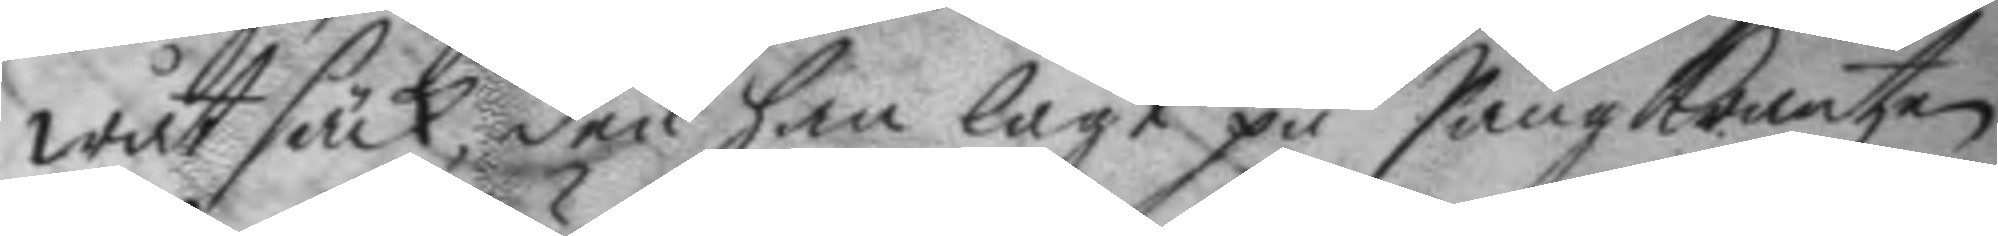wåt säck, den han lagt på Sängkrantzen
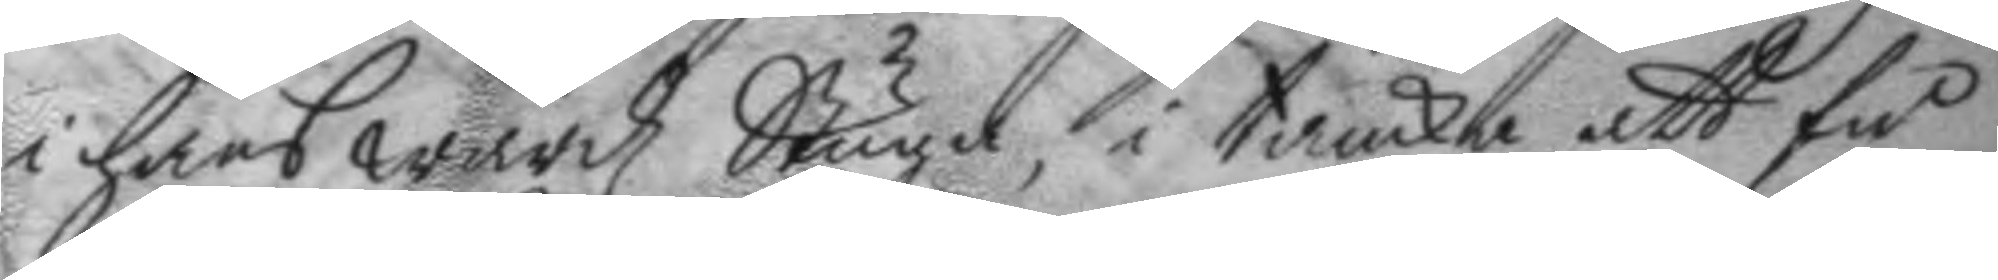i hans wärdz Stuga, i tanka att få
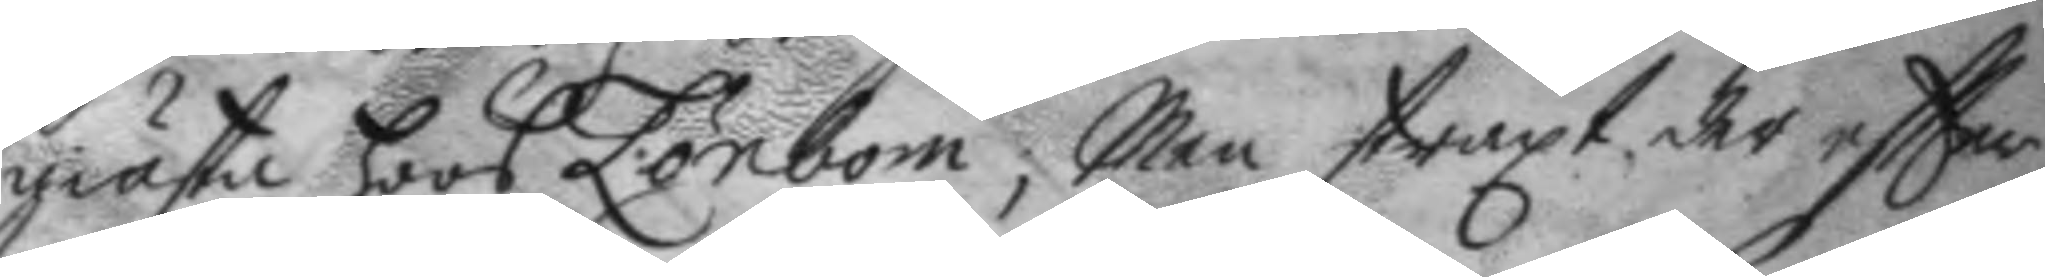giästa hoos Lönbom, Men straxt der eftter
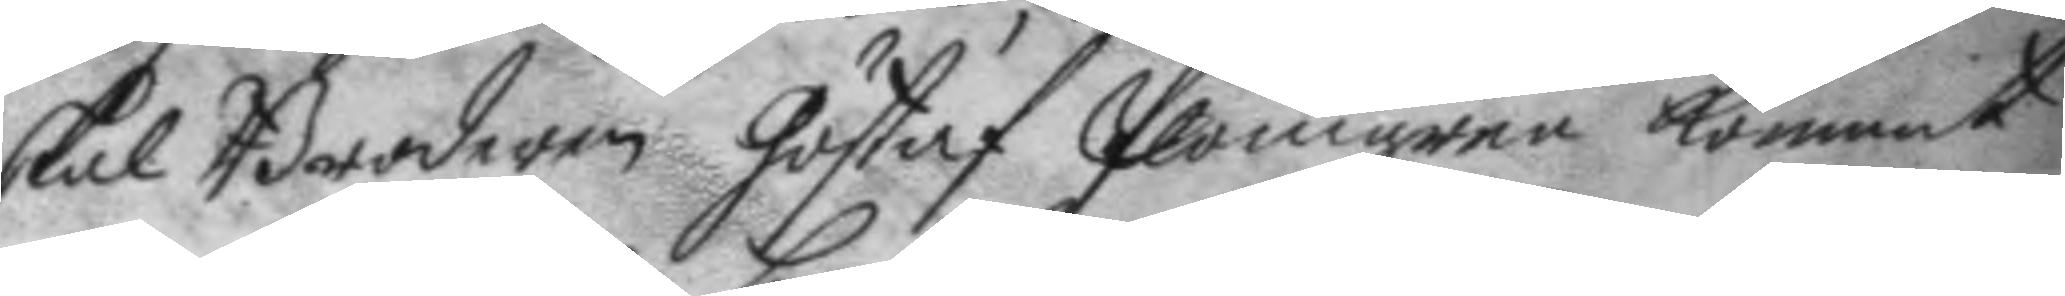skal Brodern Göstaf Plomgren kommit
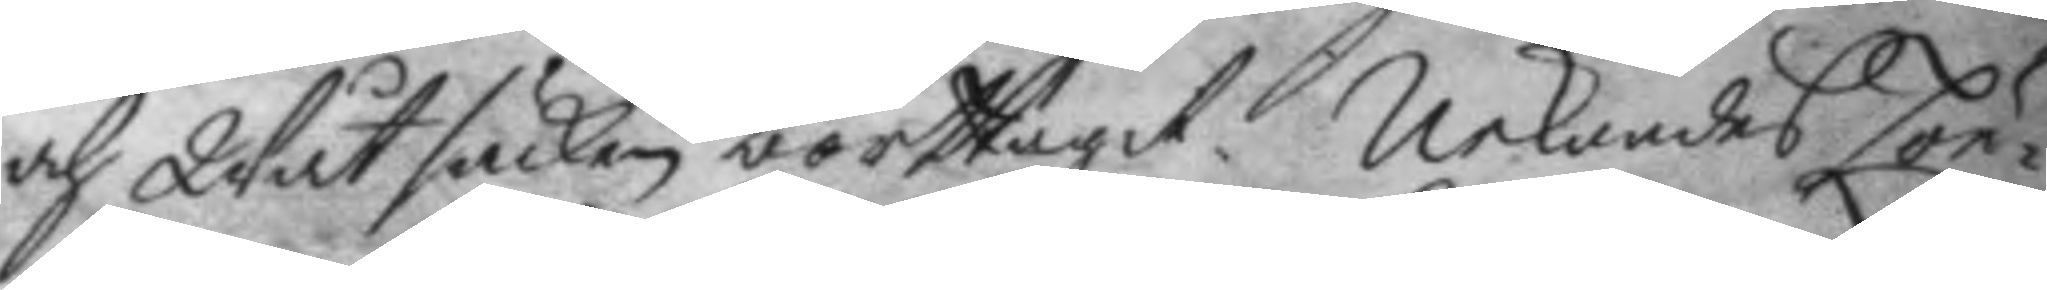och Wåt säcken borttagit. Nekandes Lön¬
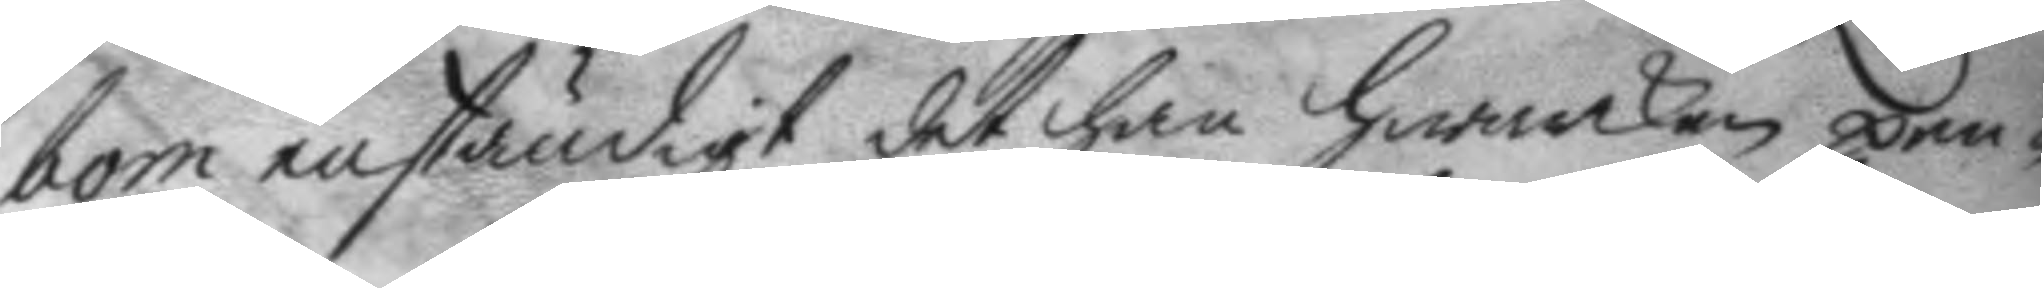bom enständigt det han hwarken pen¬
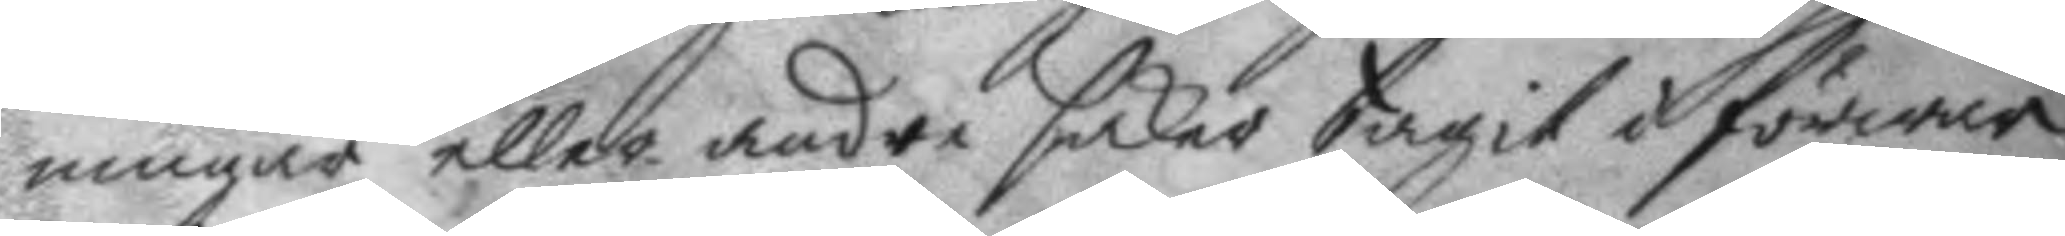ningar eller andre saker tagit i förwar
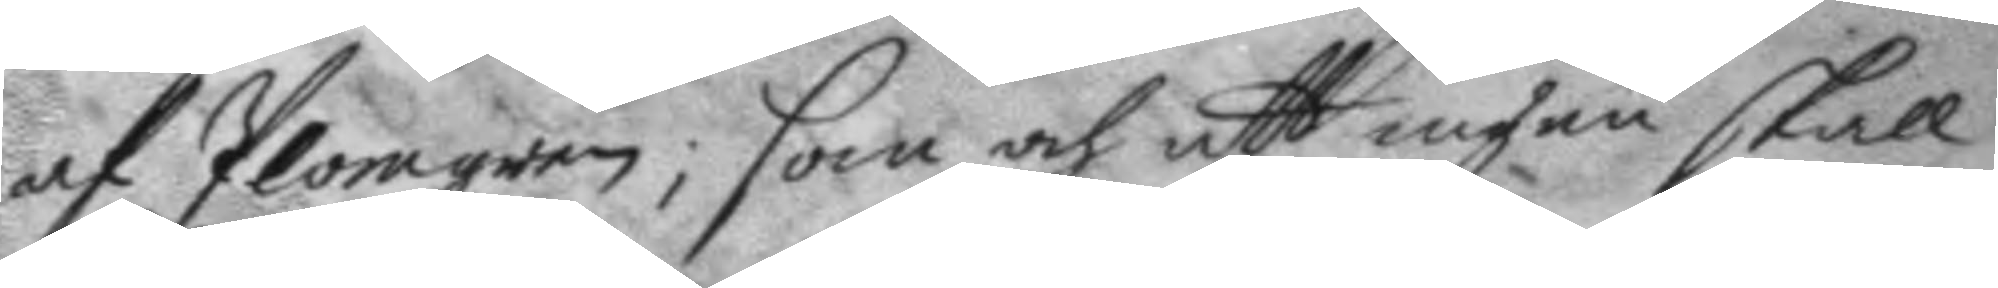af Plomgren; som och att ingen skall
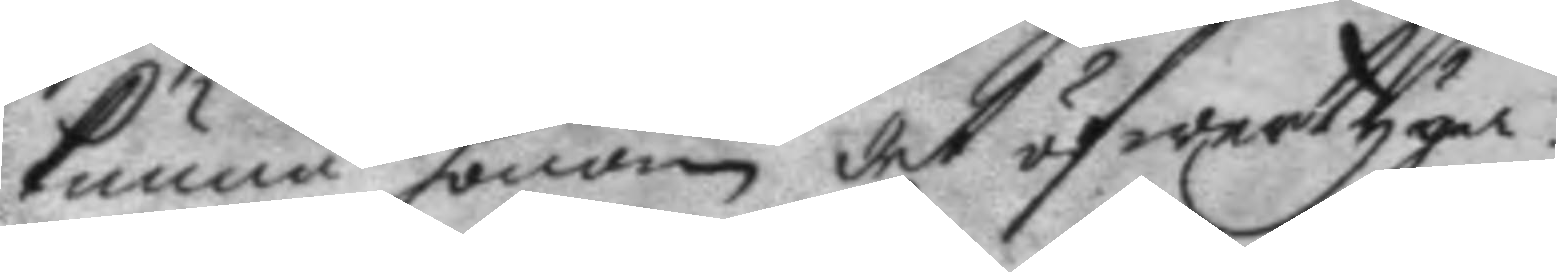kunna honom det öfwertyga.
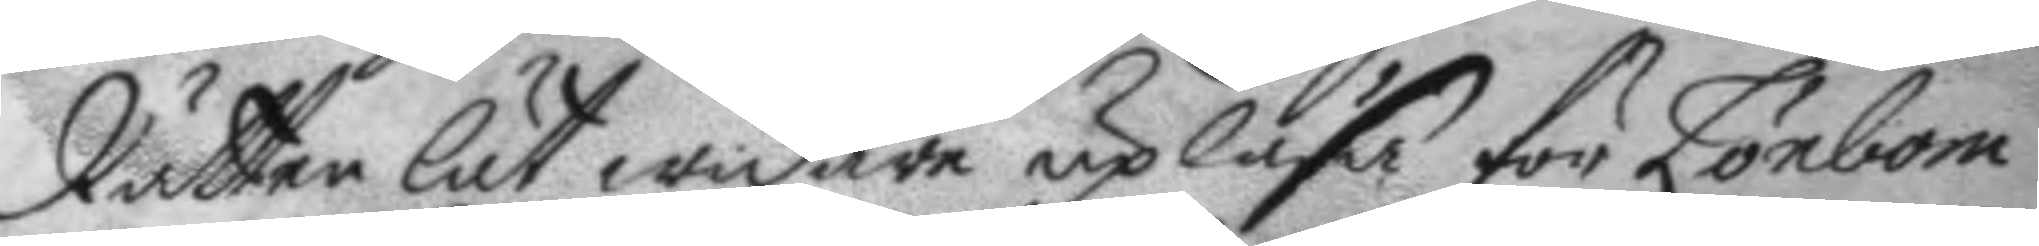Rätten lät widare upläsa för Lönbom
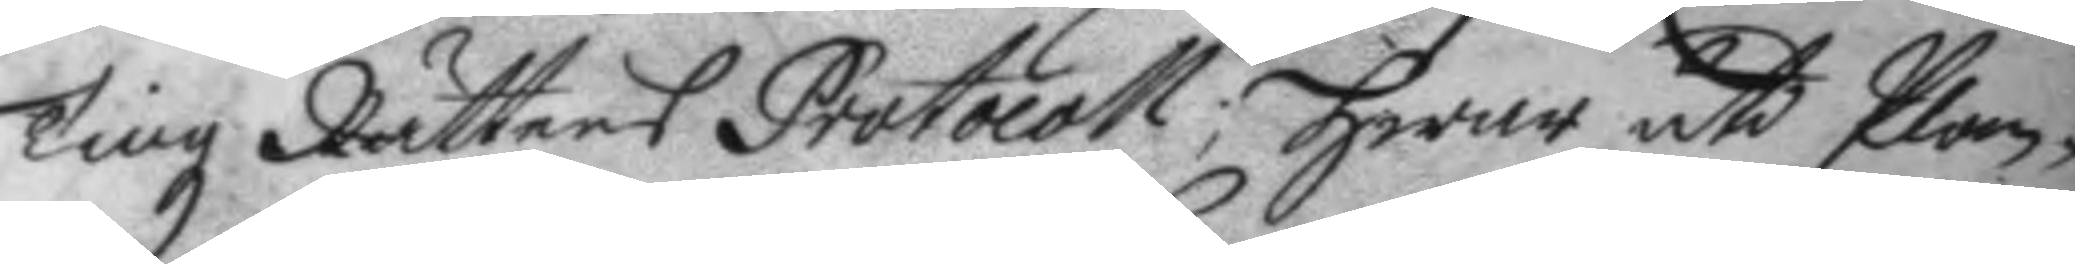Tingz Rättens Protocoll; hwar uti Plom¬
